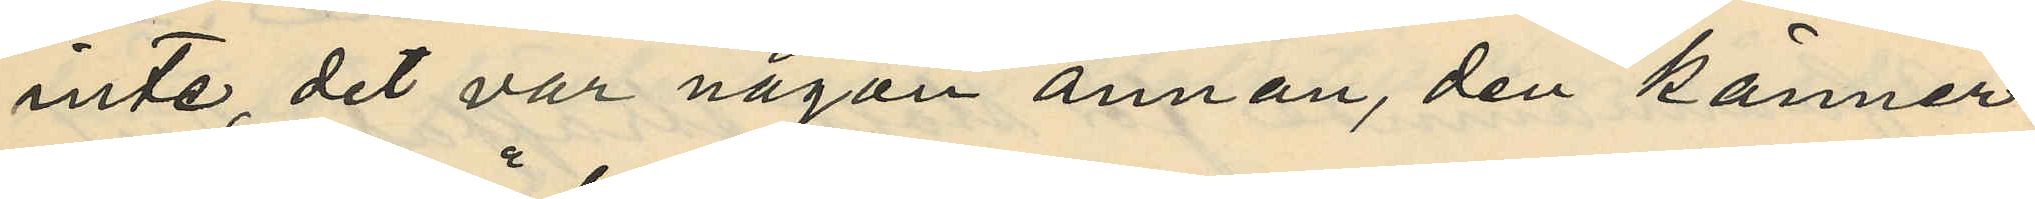inte, det var någon annan, den känner
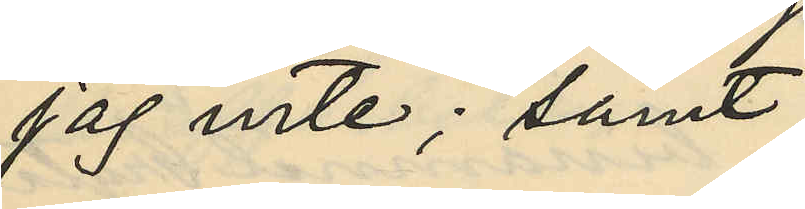jag inte; samt
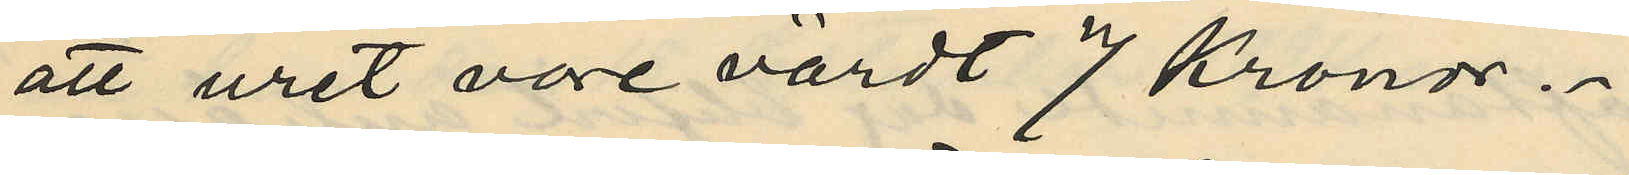att uret vore värdt 7 Kronor.
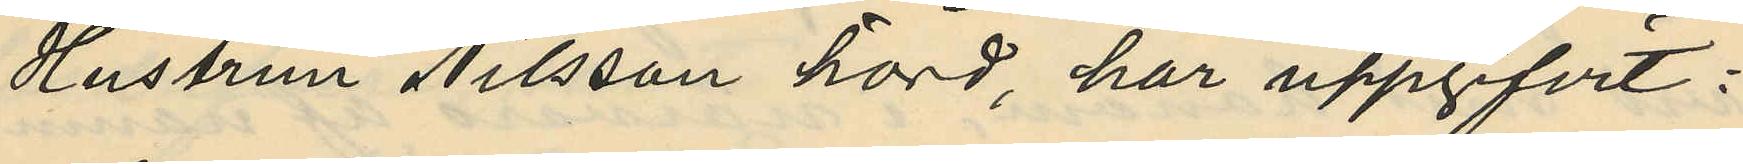Hustrun Nilsson hörd, har uppgifvit:
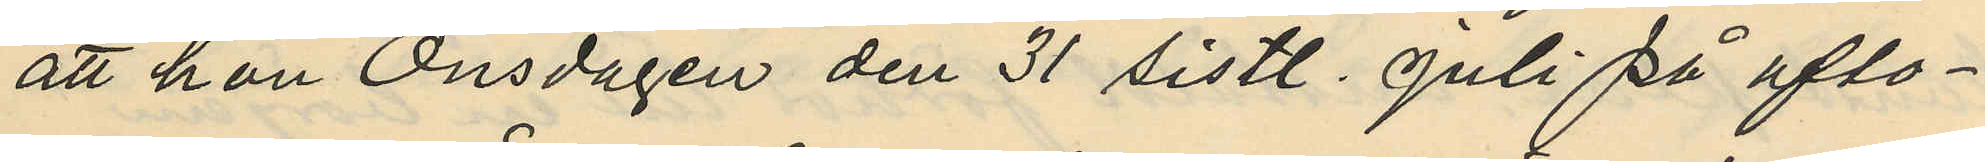att hon Onsdagen den 31 sistl. Juli på afto¬
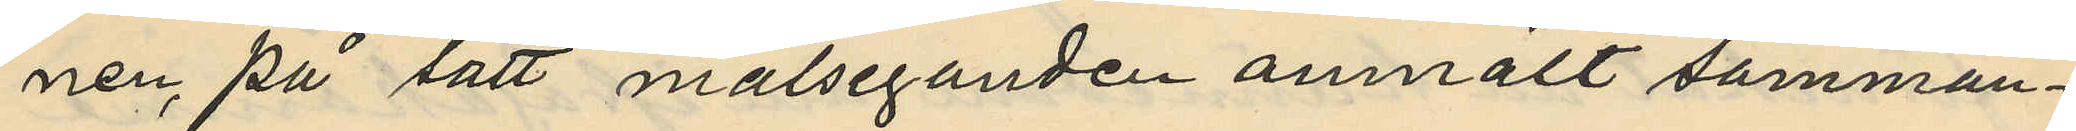nen på sätt målseganden anmält samman¬
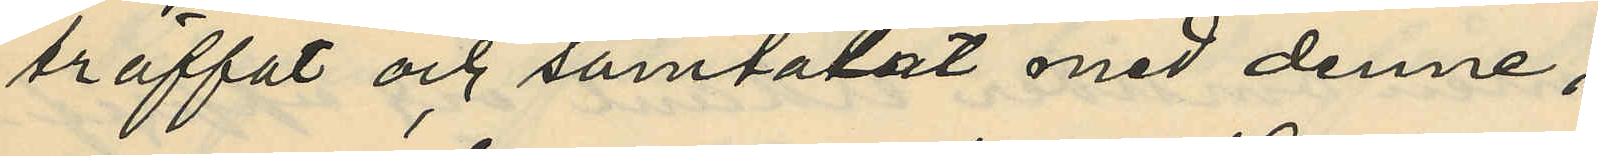träffat och samtalat med denne,
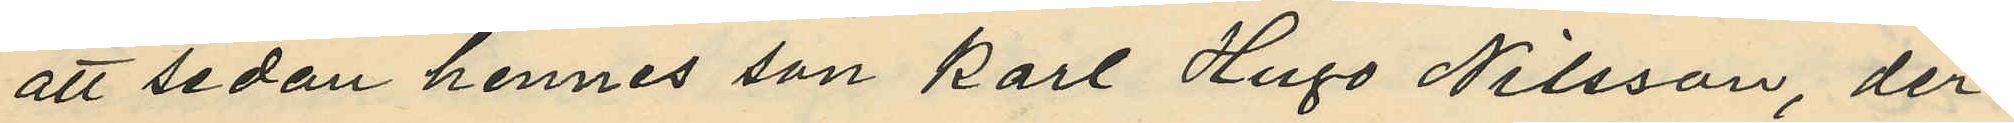att sedan hennes son Karl Hugo Nilsson, der¬
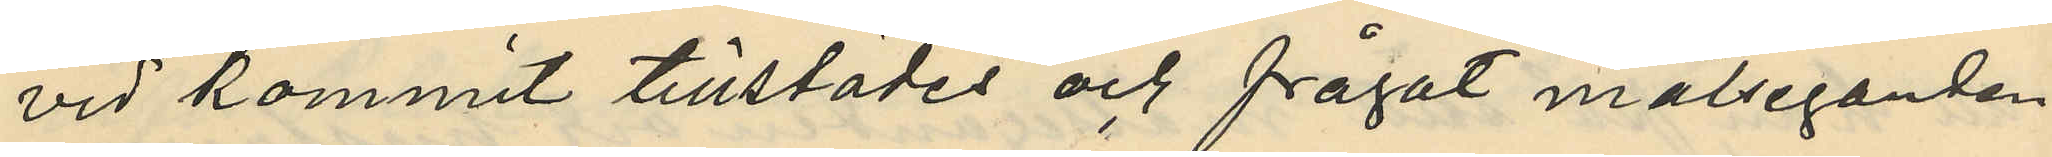vid kommit tillstädes och frågat målsegaren
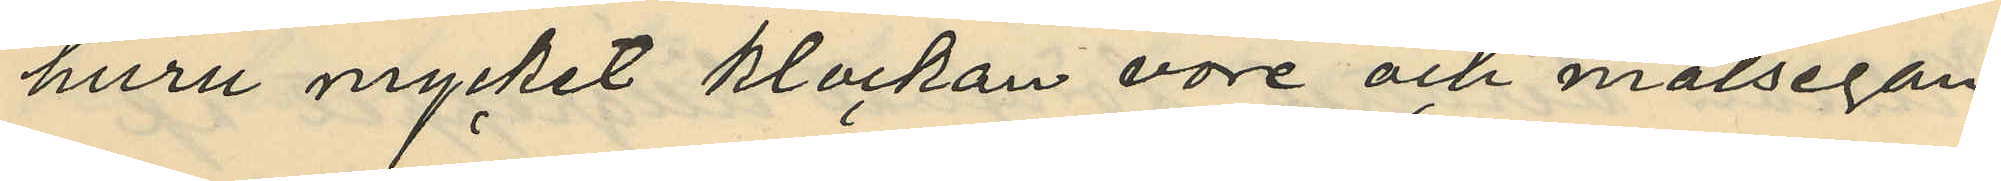huru mycket klockan vore och målsegan¬
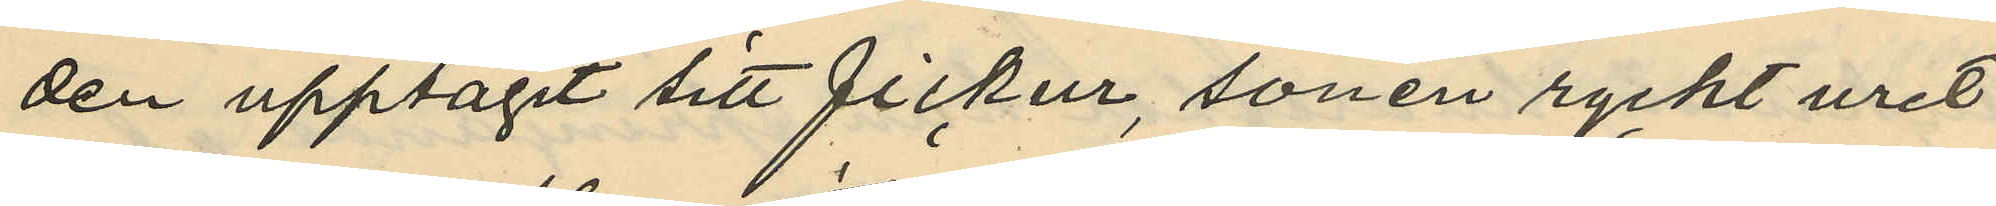den upptagit sitt fickur, sonen ryckt uret
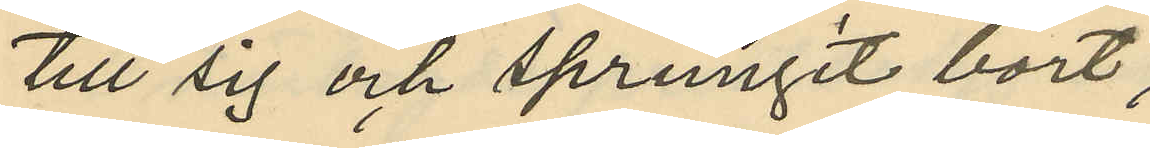till sig och sprungit bort;
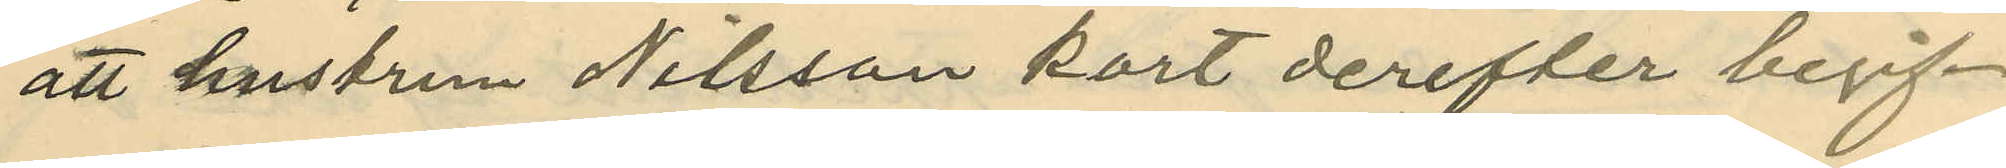att hustrun Nilsson kort derefter begif¬
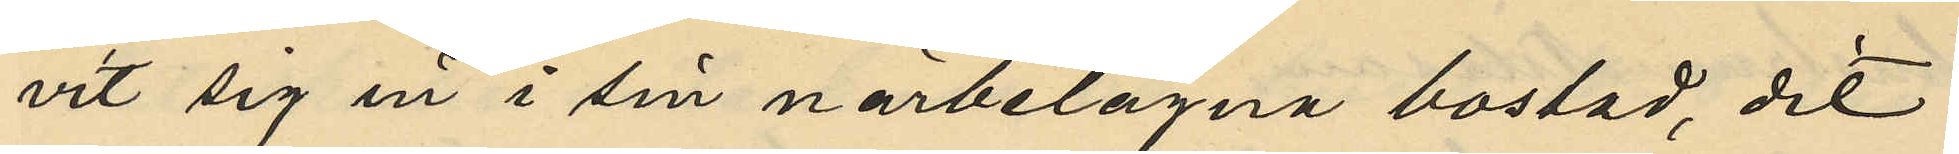vit sig in i sin närbelägna bostad, dit
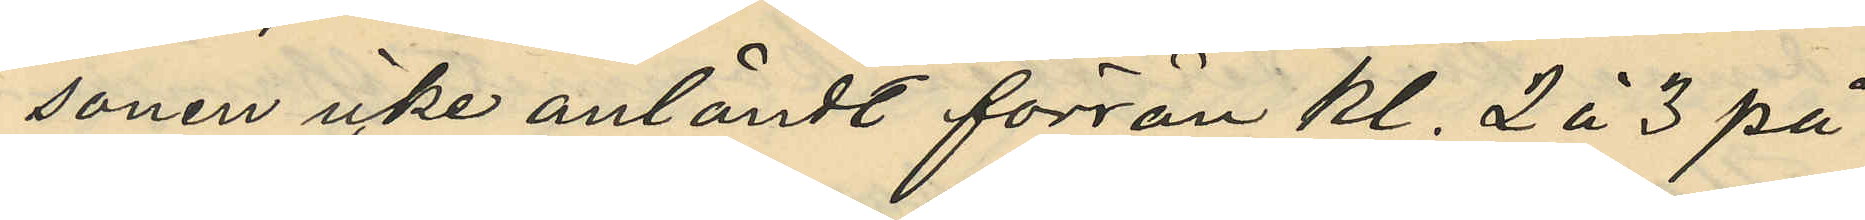sonen icke anländt förrän kl. 2 à 3 på
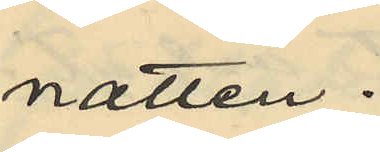natten;
